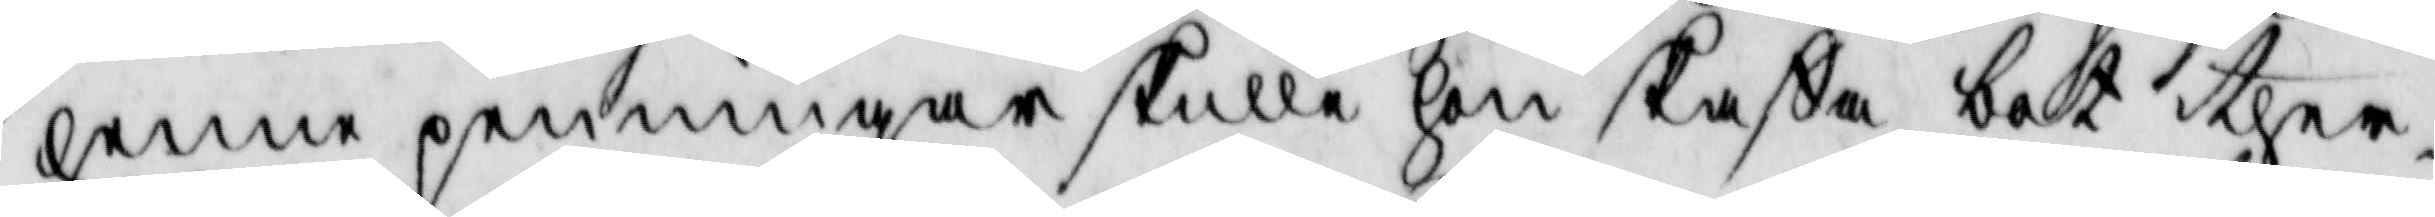henne penningar skulle hon skaffa bot ther¬
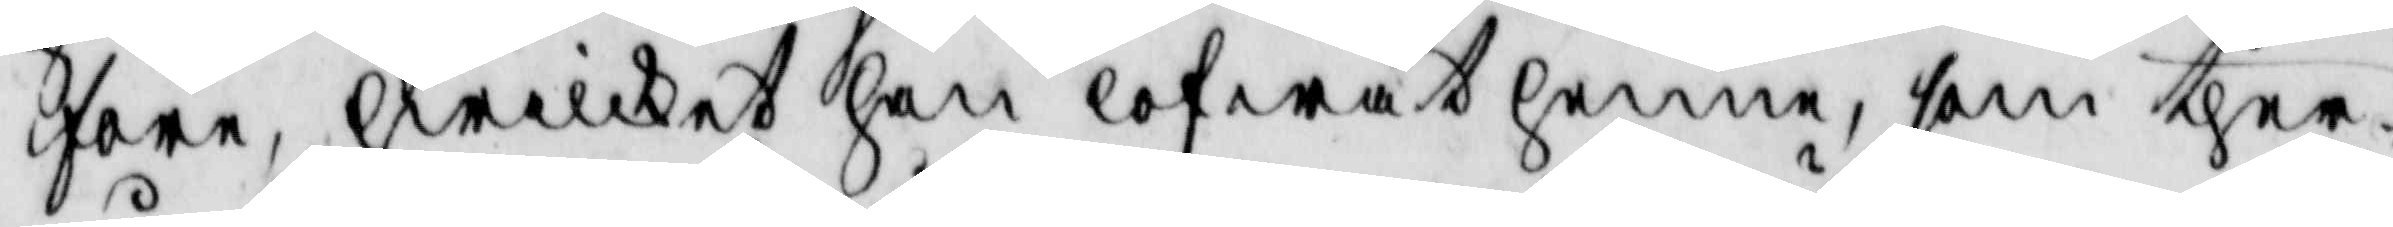före, hwilket han lofwat henne, som ther¬
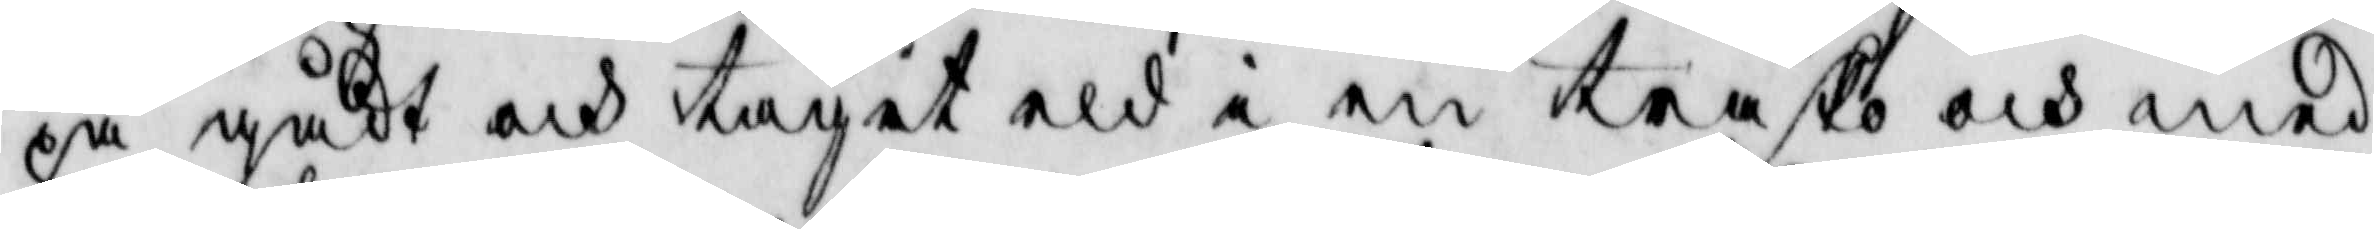på gådt och tagit eld i en träsko och med
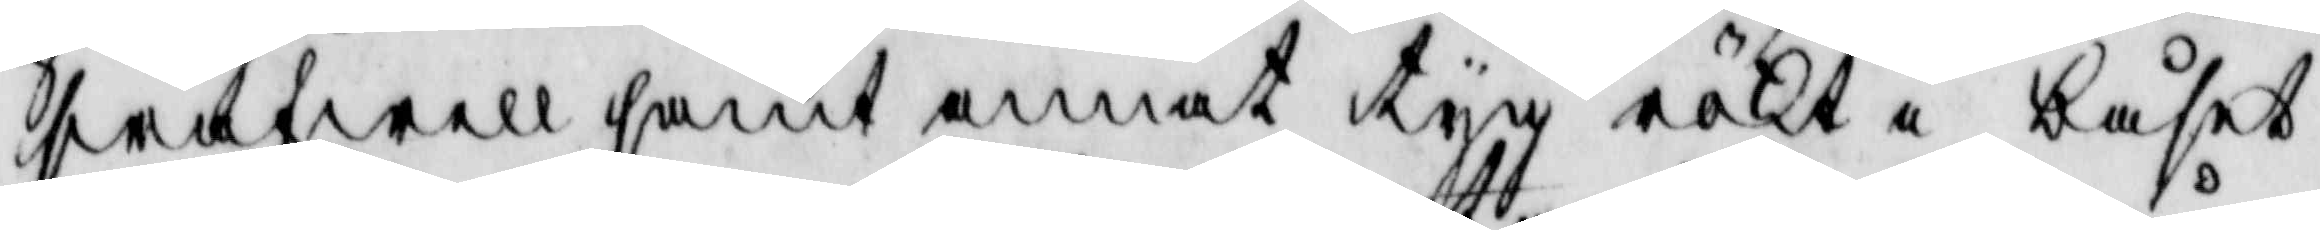swafwell samt annat tyg rökt i båset
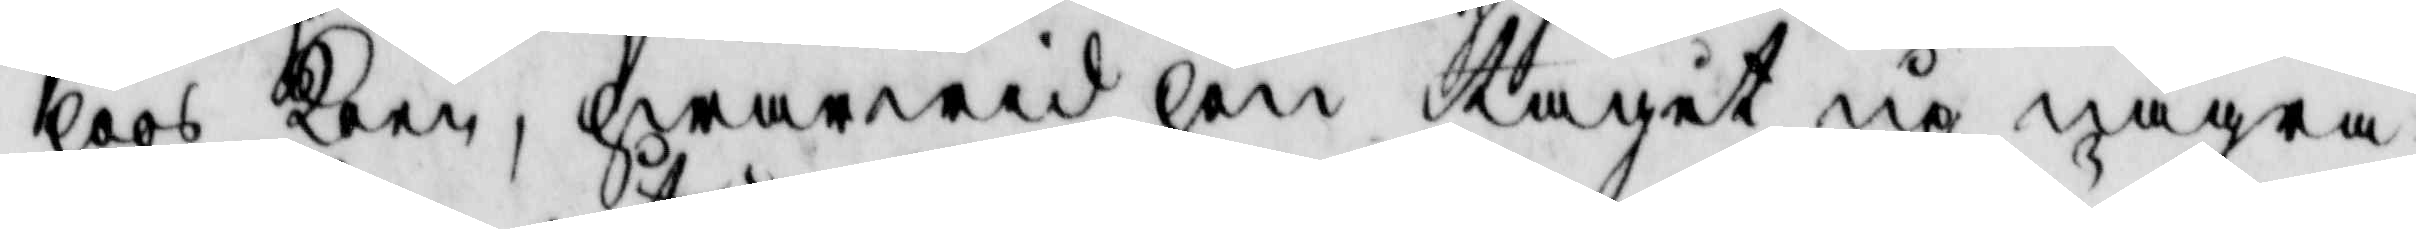hoos koon, hwarwid hon tagit up några
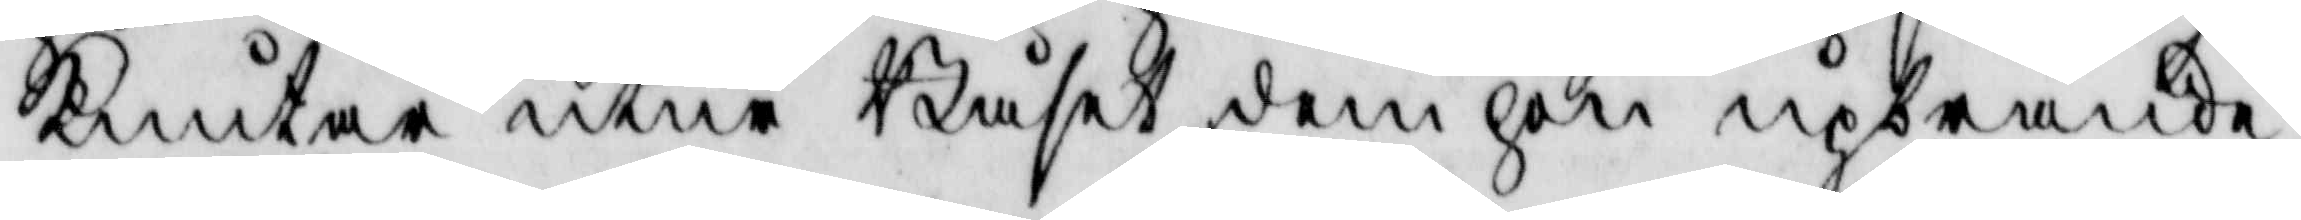knutar utur Båset dem hon upbrände
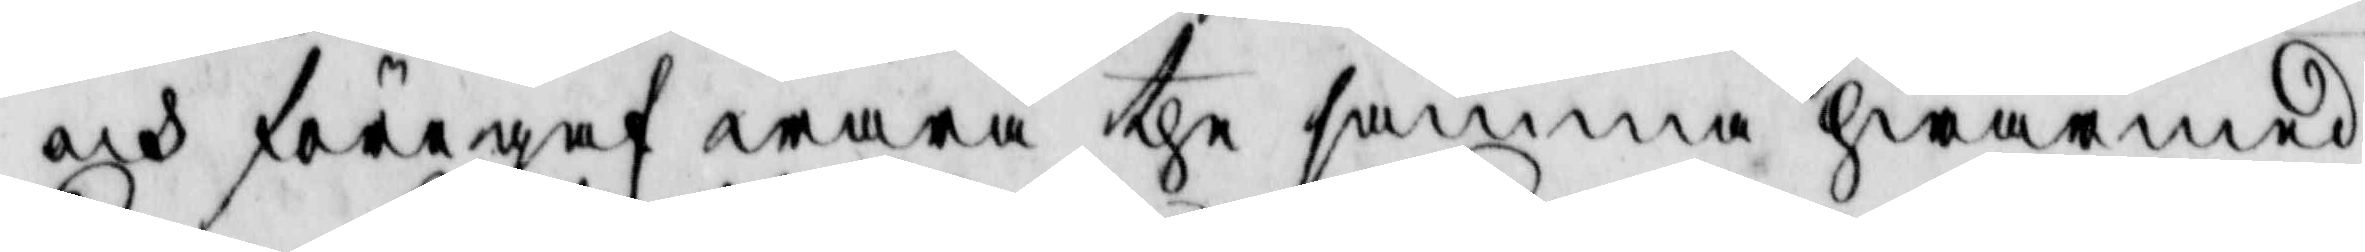och föregaf wara the samma hwarmed
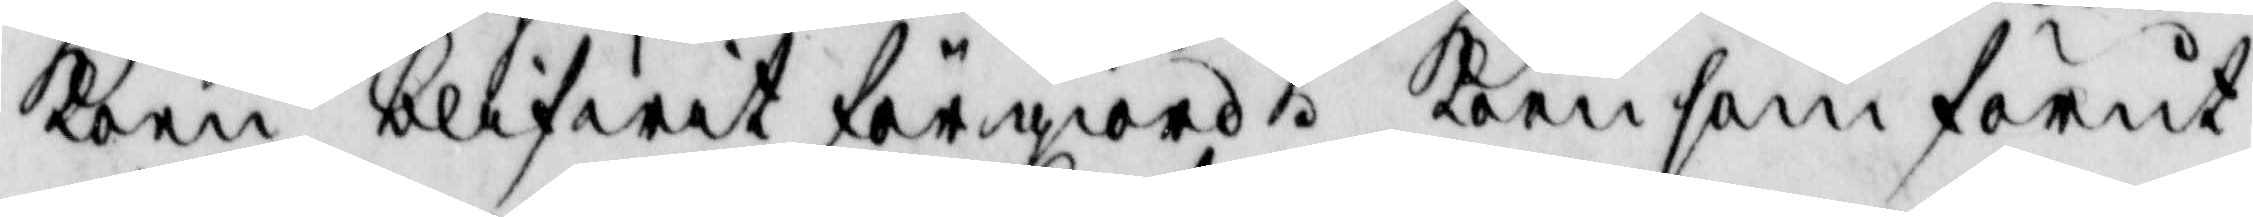koen blifwit förgiord. koen som förut
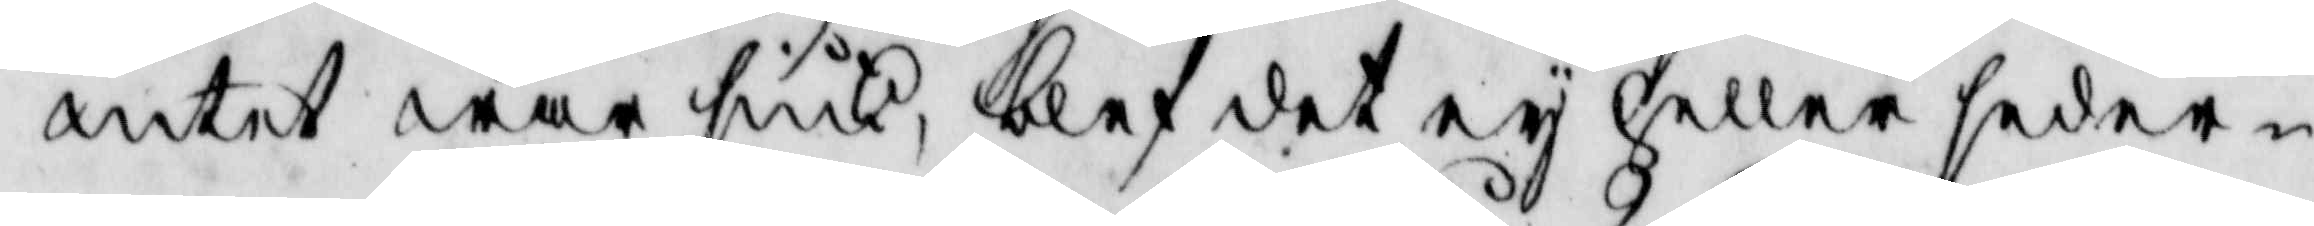intet war siuk, blef det ey heller seder¬
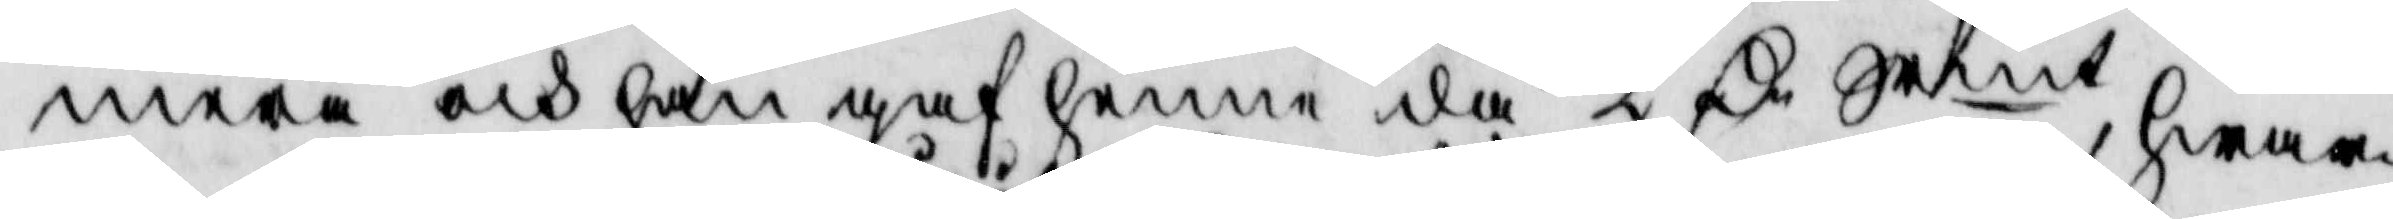mera och han gaf henne då 2 Cr Srmt hwar¬
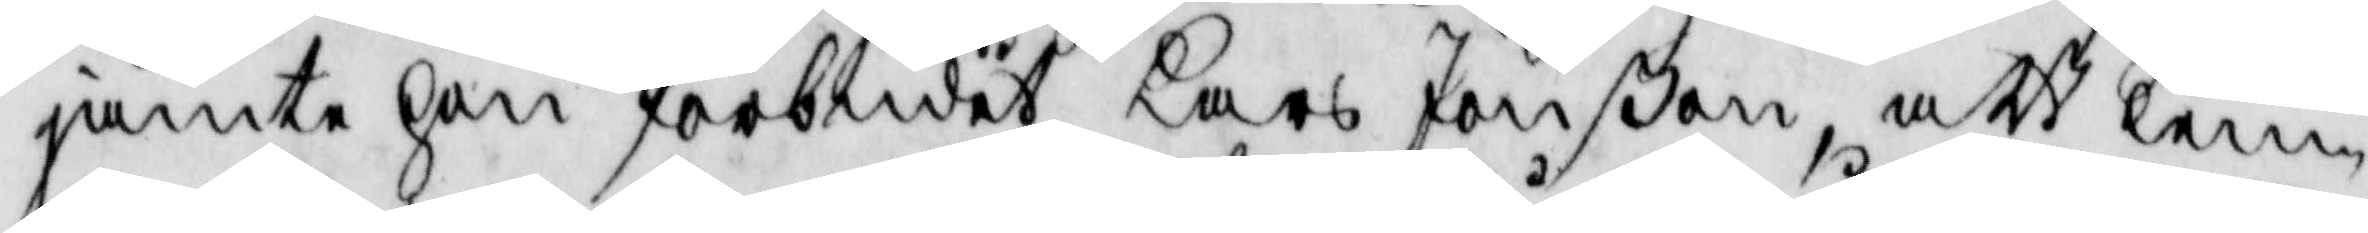jämte hon förbudit Lars Jönßon, att lem¬
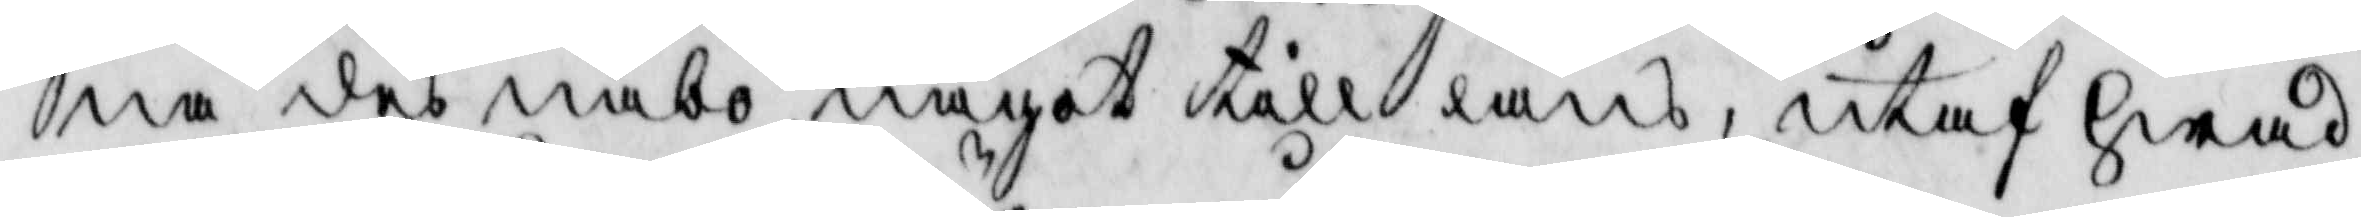na des nabo något till låns, utaf hwad
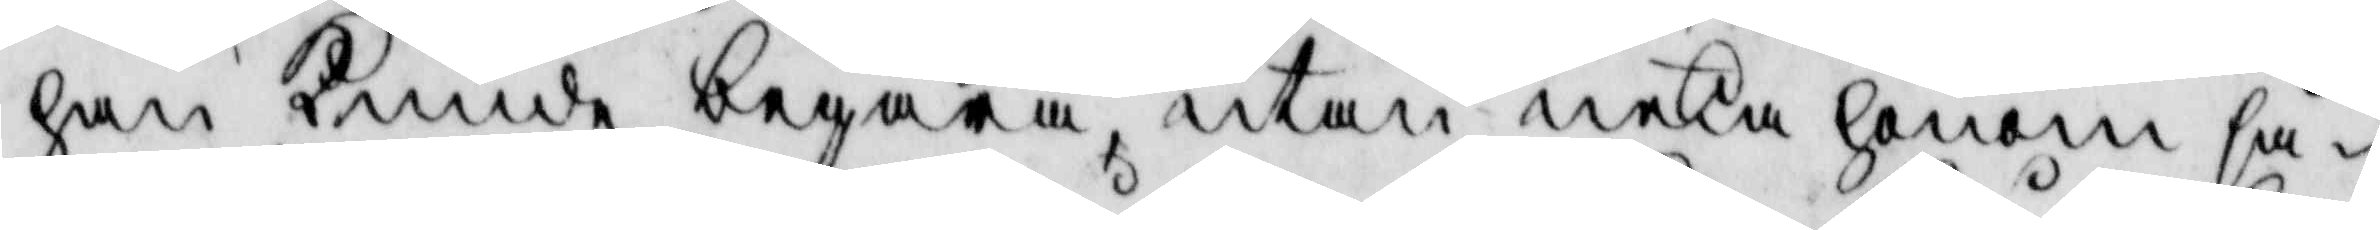han kunde begära, utan neka honom så¬
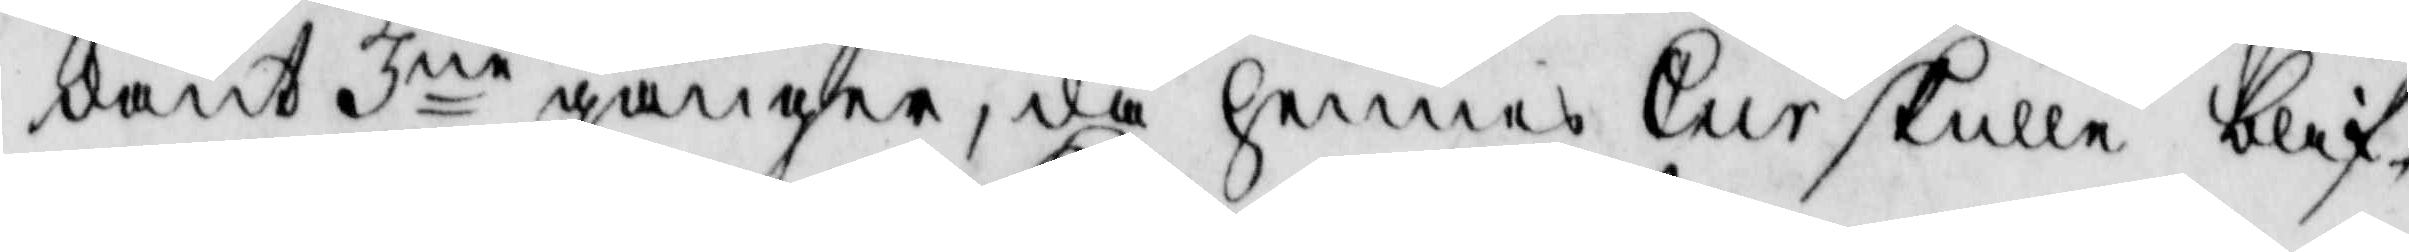dant 3ne gånger, då hennes Cur skulle blif¬
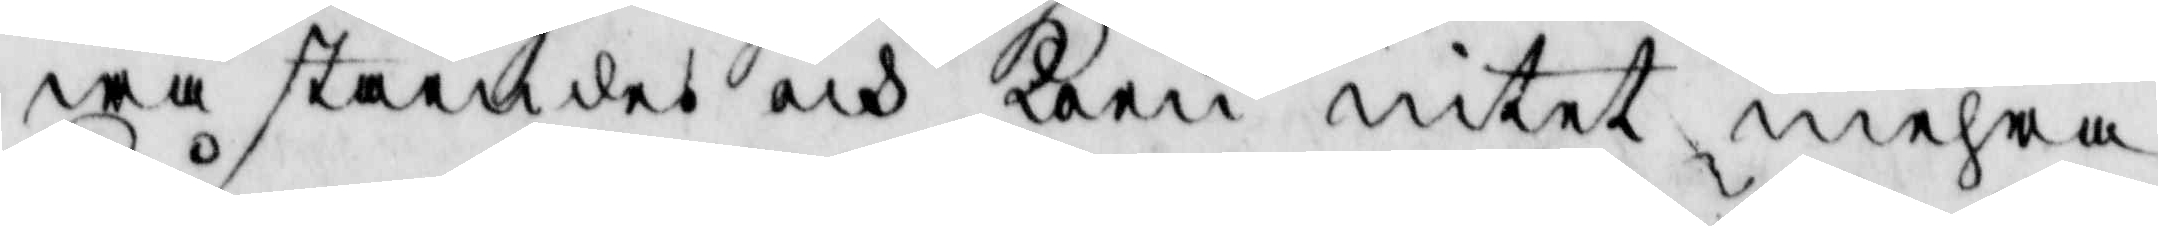wa ståendes och koen intet mehra
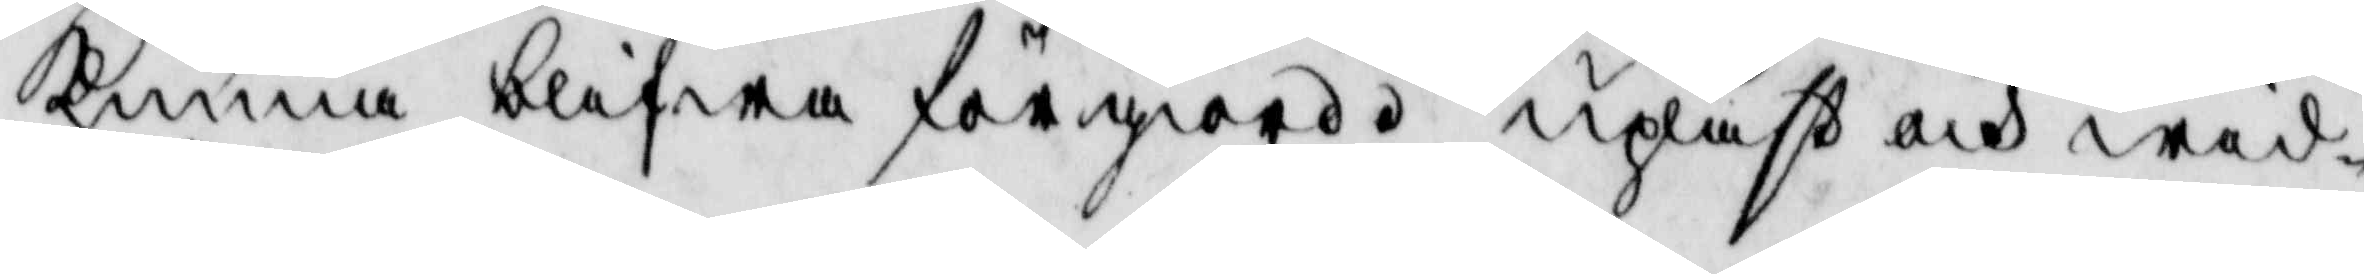kunna blifwa förgiord upläst och wid¬
